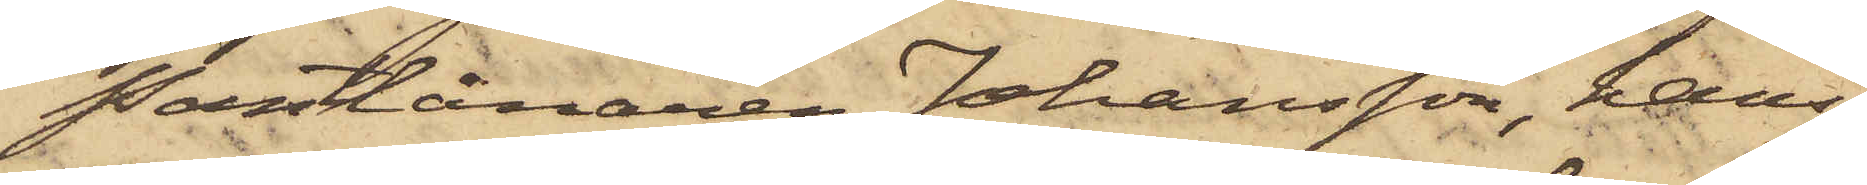Pantlånaren Johansson, hans
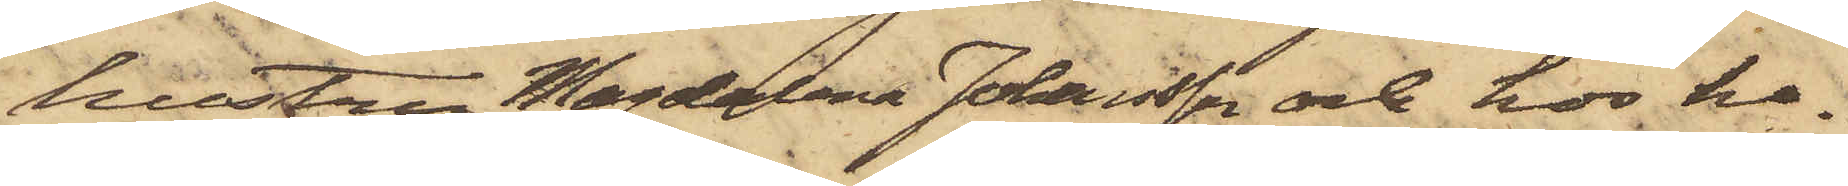hustru Magdalena Johansson och hos ho¬
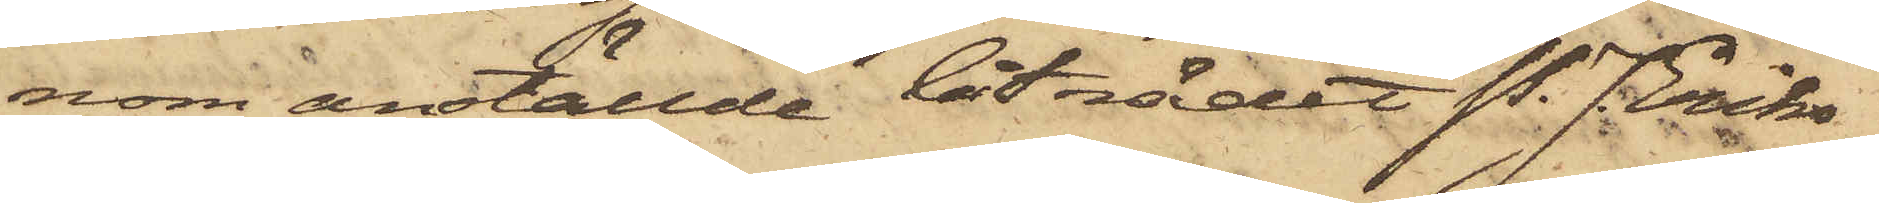nom anställde biträdet P. J. Eriks¬
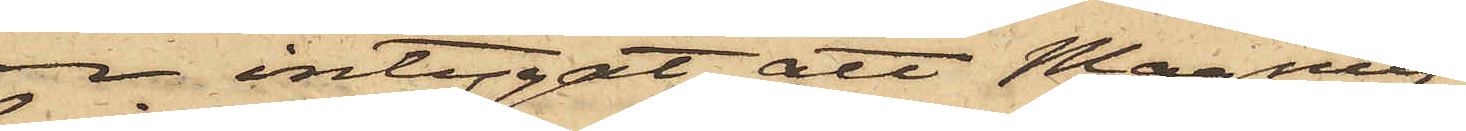son intygat att Magnus¬
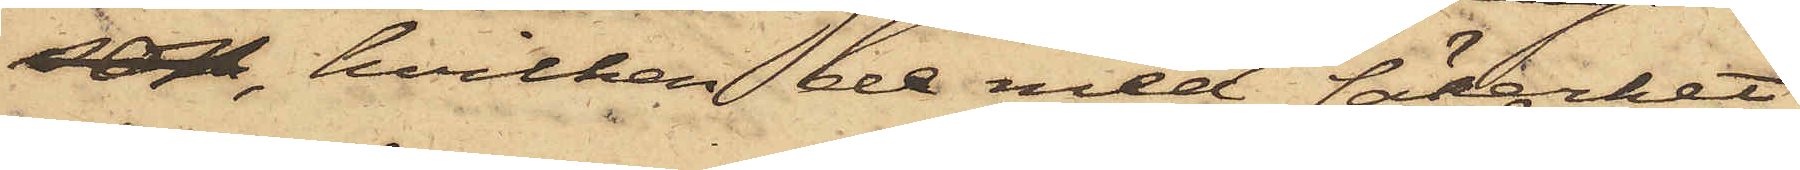son, hvilken de med säkerhet
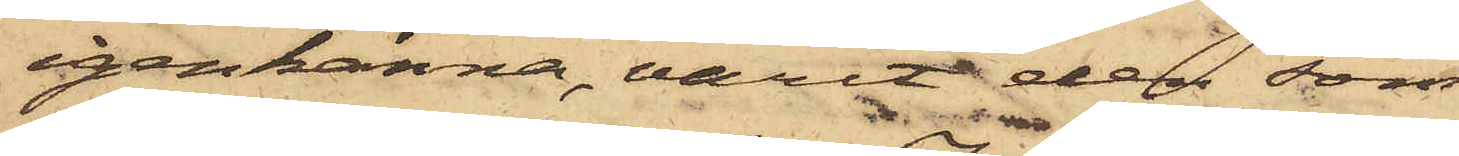igenkänna, varit den som
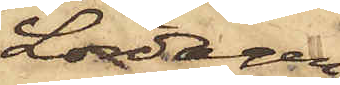Lördagen
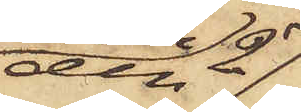den 27
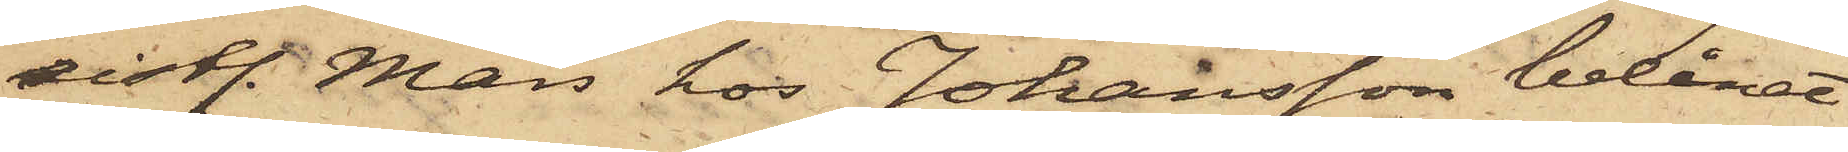sistl. Mars hos Johansson belånat
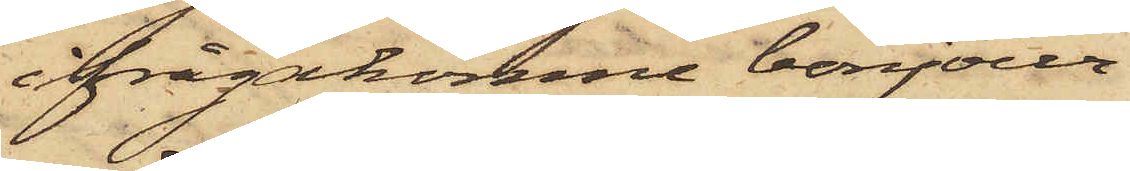ifrågakomne bonjour.
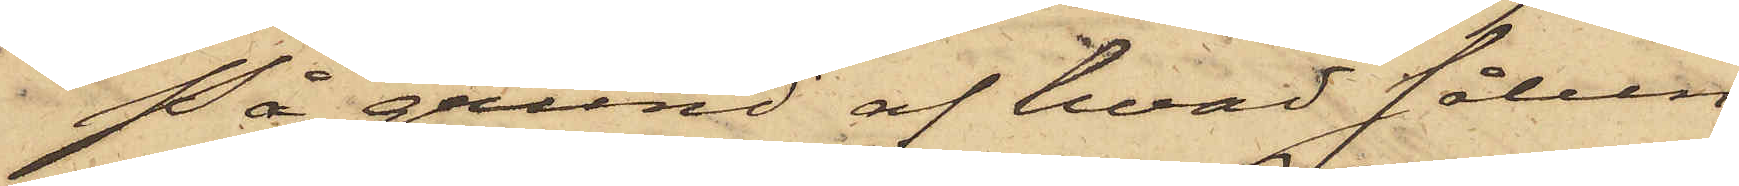På grund af hvad sålun¬
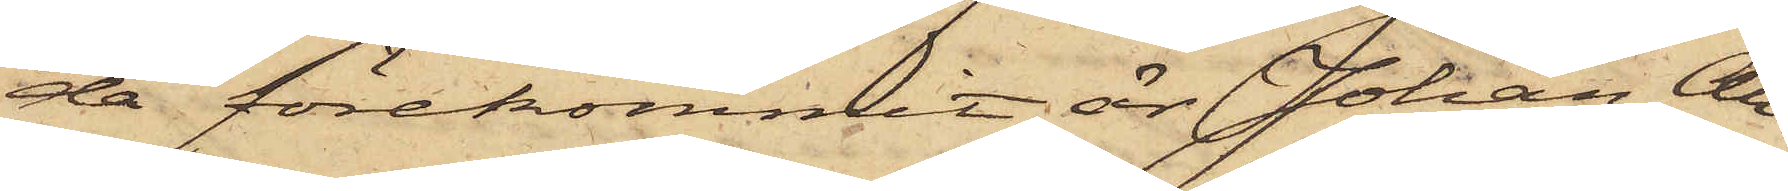da förekommit är Johan An¬
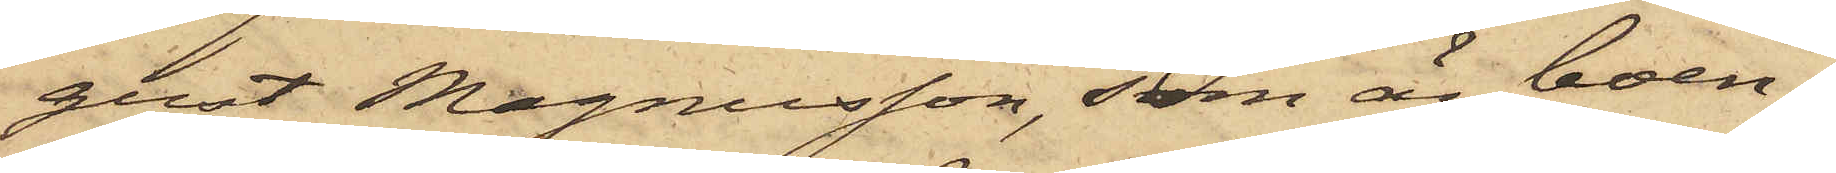gust Magnusson, som är boen¬
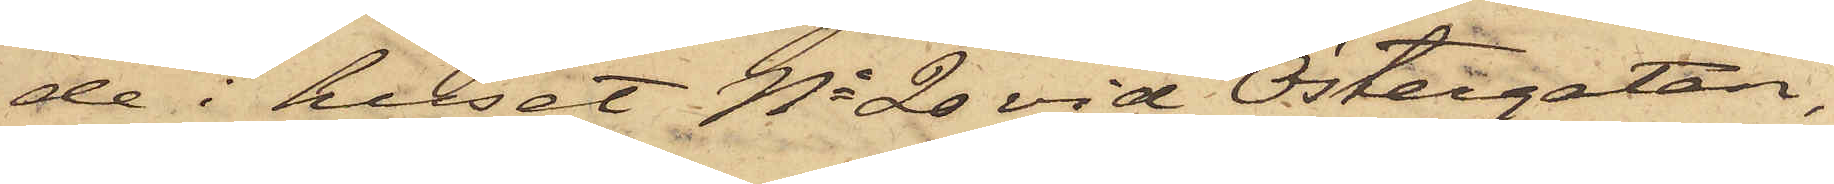de i huset No 20 vid Östergatan,
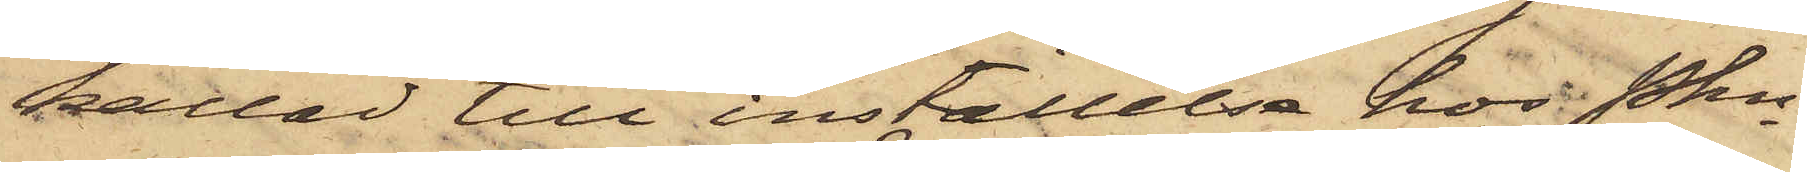kallad till inställelse hos Pkn
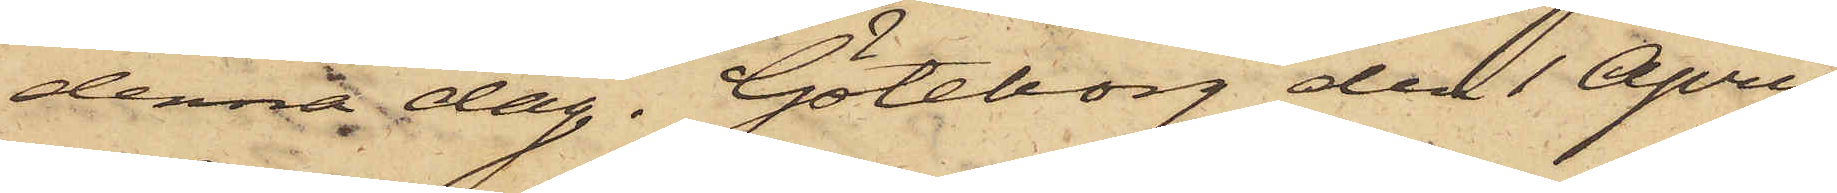denna dag. Göteborg den 1 April
